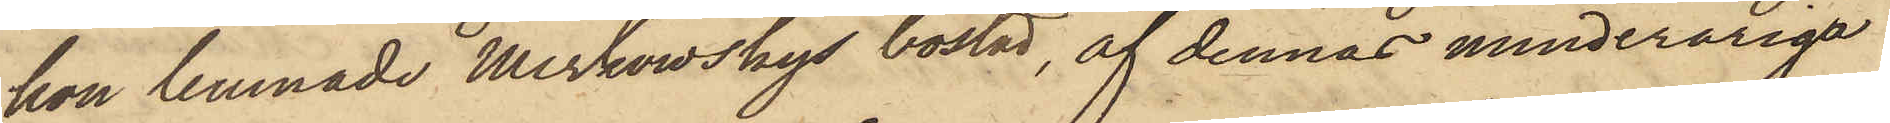hon lemnade Merkowskys bostad, af dennas minderåriga
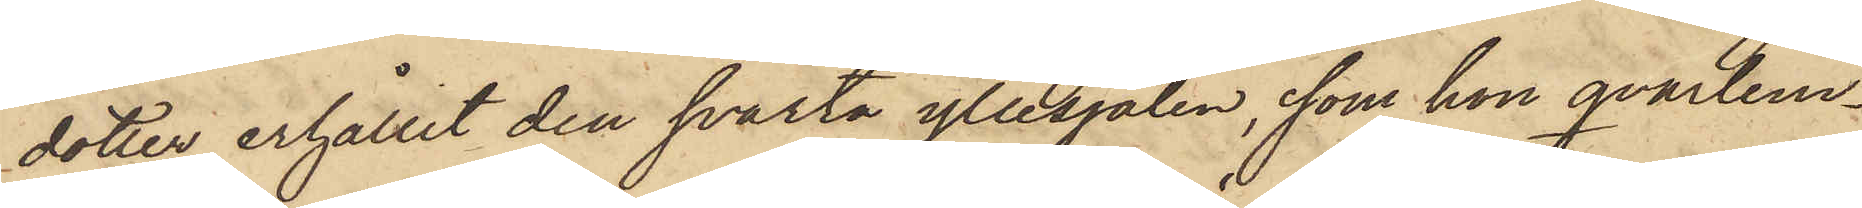dotter erhållit den svarta yllesjalen, som hon qvarlem¬
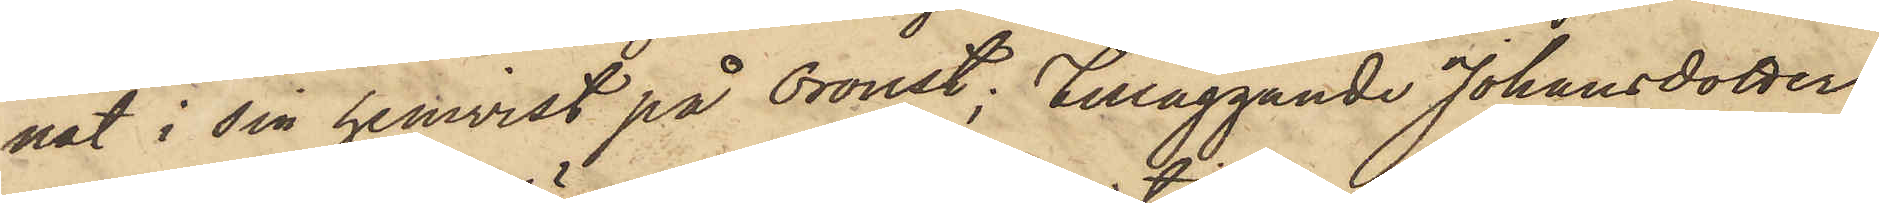nat i sin hemvist på Oroust; tilläggande Johansdotter,
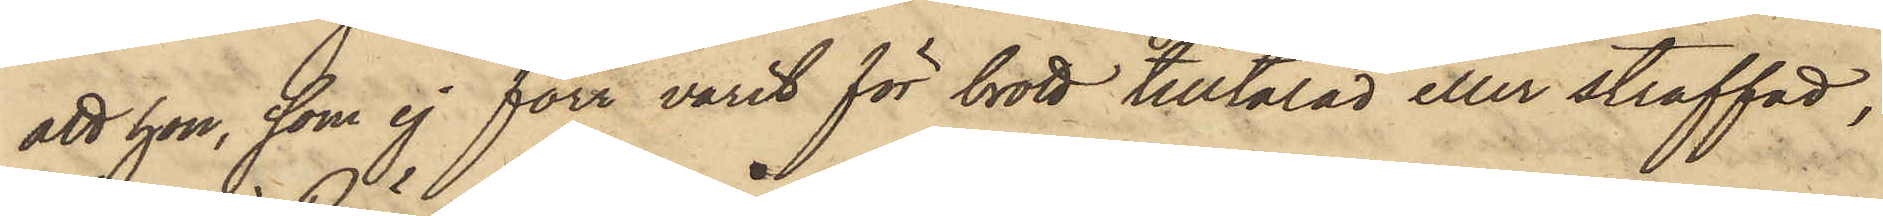att hon, som ej förr varit för brott tilltalad eller straffad,
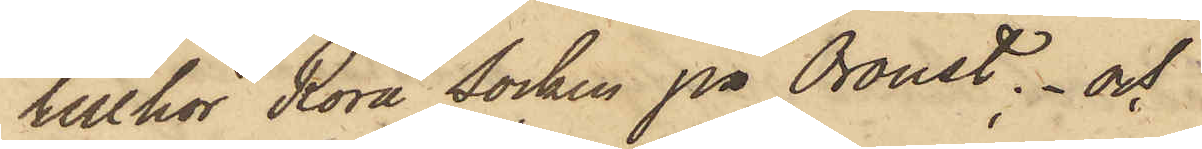tillhör Röra Socken på Oroust; och
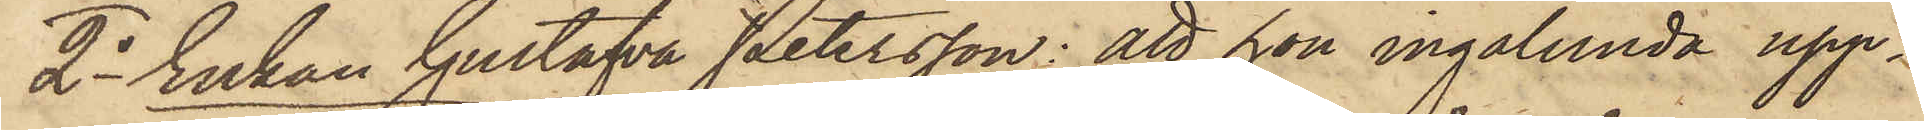2o Enkan Gustafva Petersson: att hon ingalunda upp¬
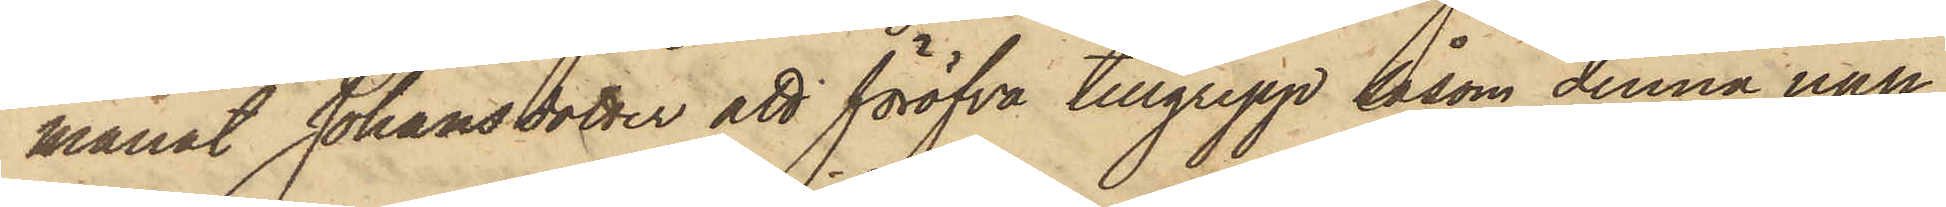manat Johansdotter att föröfva tillgrepp såsom denna upp¬
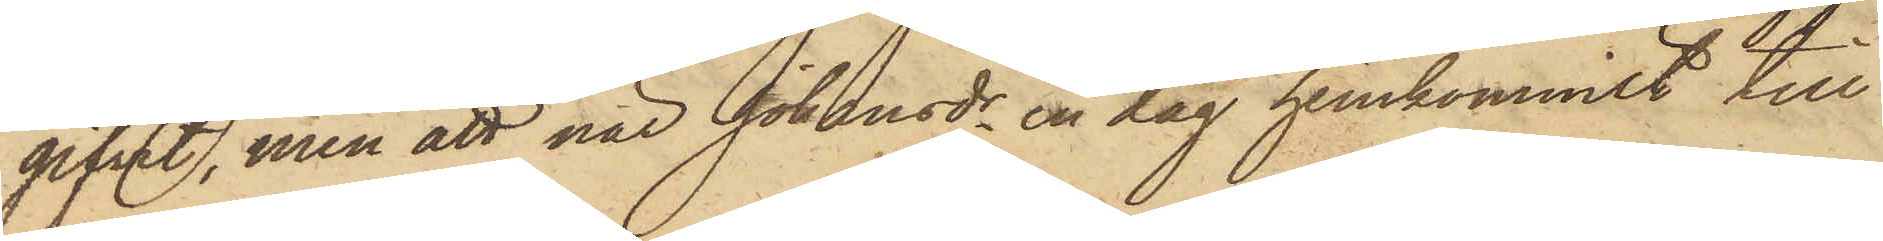gifvit, men att när Johansdr en dag hemkommit till
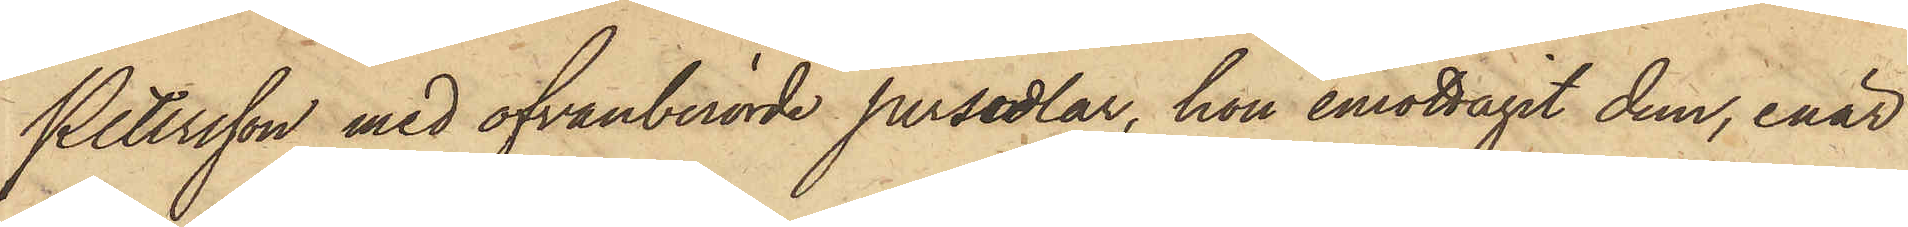Petersson med ofvanberörde persedlar, hon emottagit dem, enär
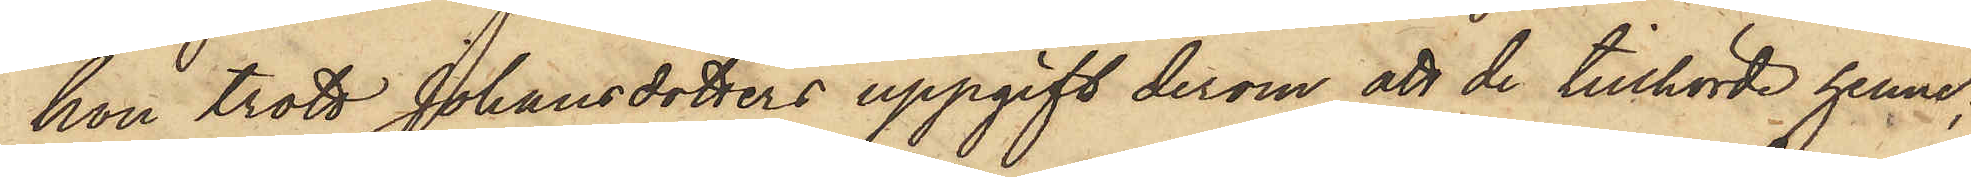hon trott Johansdotters uppgift derom, att de tillhörde henne;
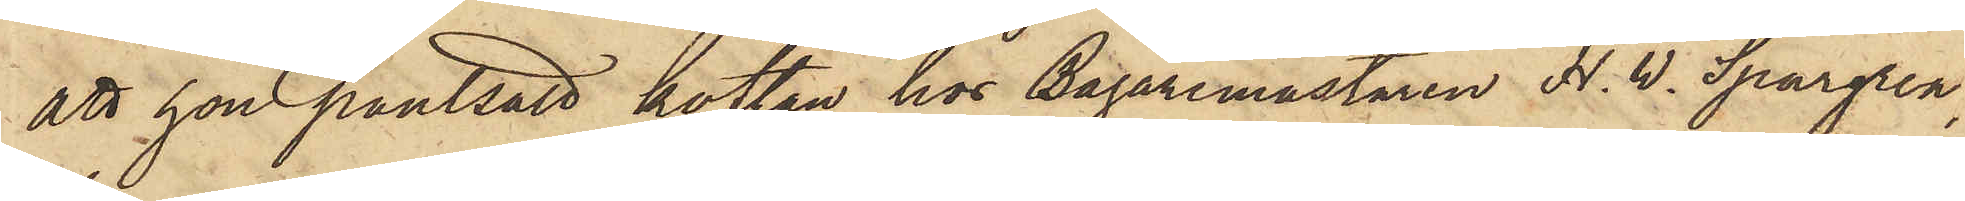att hon pantsatt koftan hos Bagaremästaren H. W. Spargren,
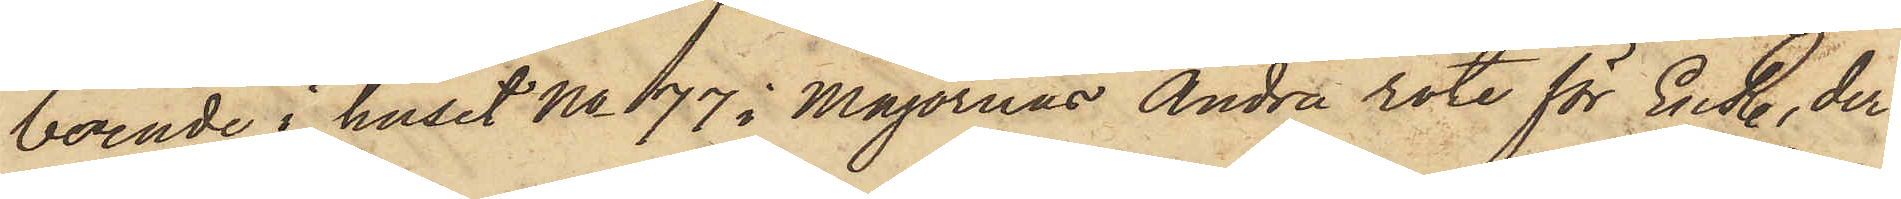boende i huset No 77 i Majornas Andra rote för En R., der¬
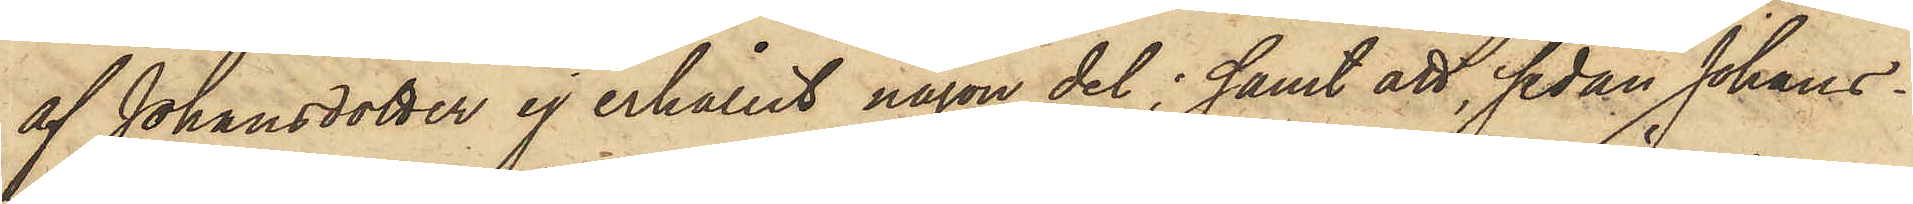af Johansdotter ej erhållit någon del; samt att, sedan Johans¬
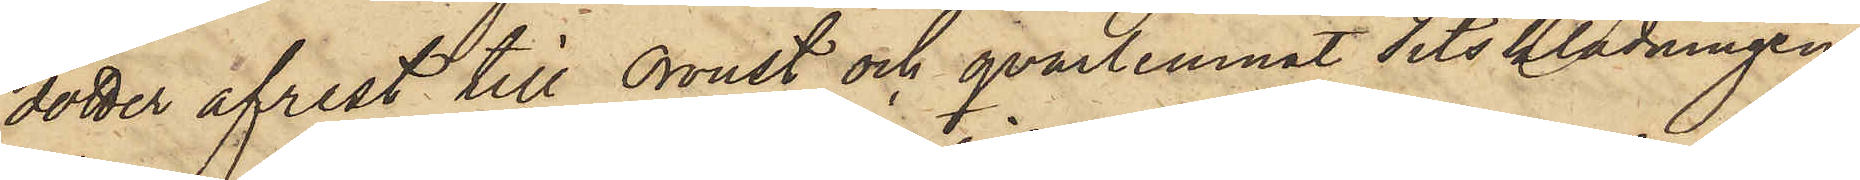dotter afrest till Oroust och qvarlemnat sitsklädningen,
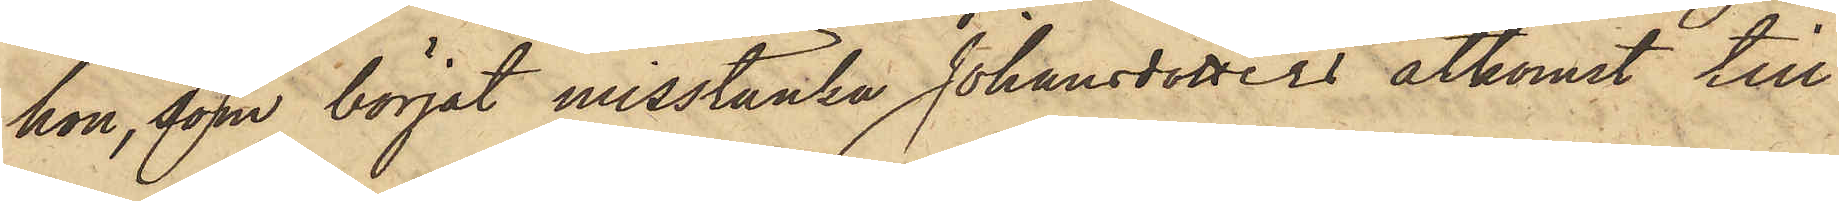hon, som börjat misstänka Johansdotters åtkomst till
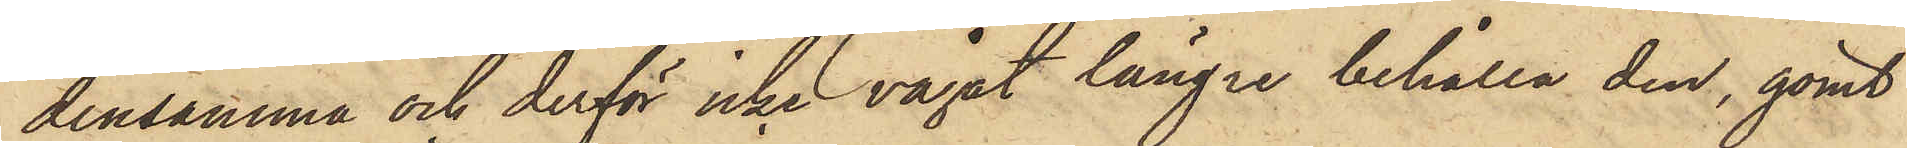densamma och derför icke vågat längre behålla den, gömt
